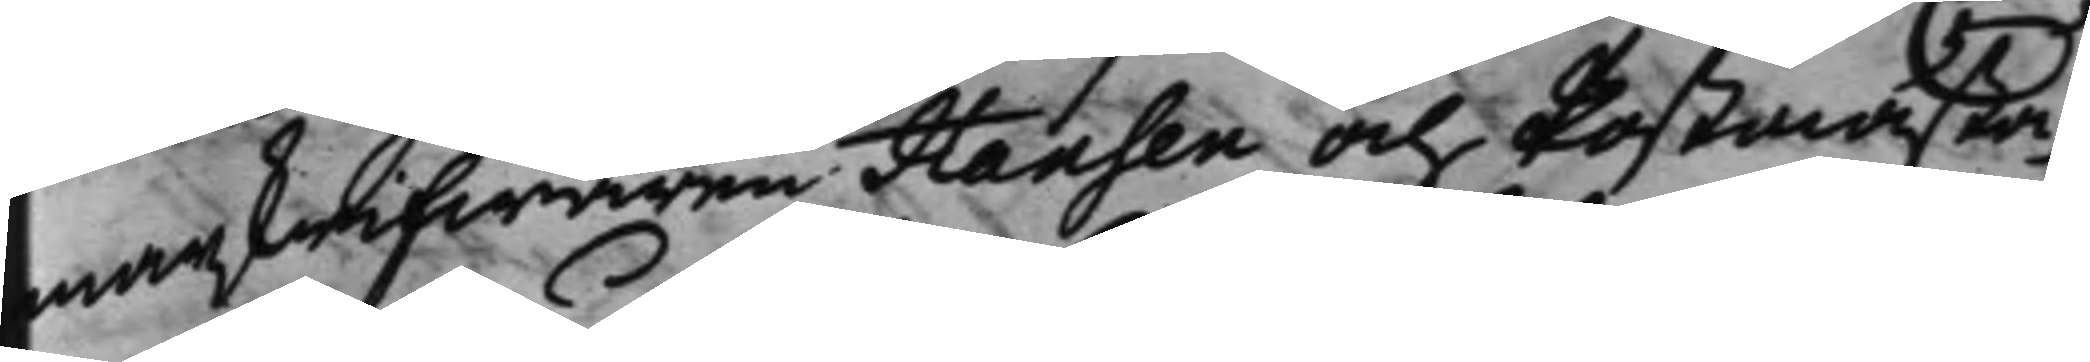marskrifwaren Hansen och Postmästa¬
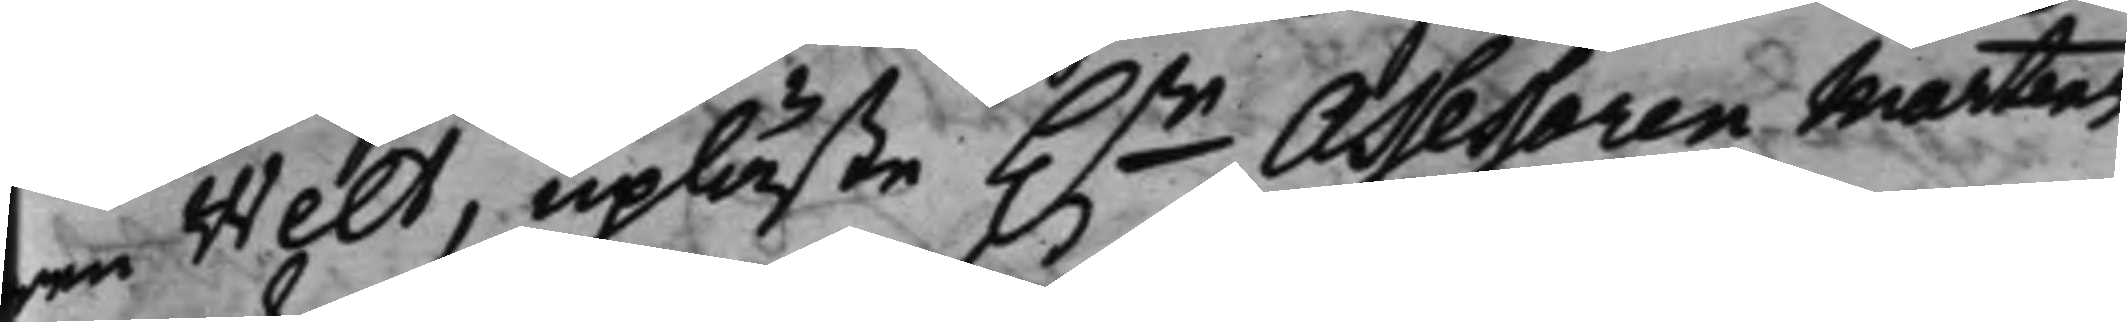ren Welt, upläste h.r Assessoren Martens
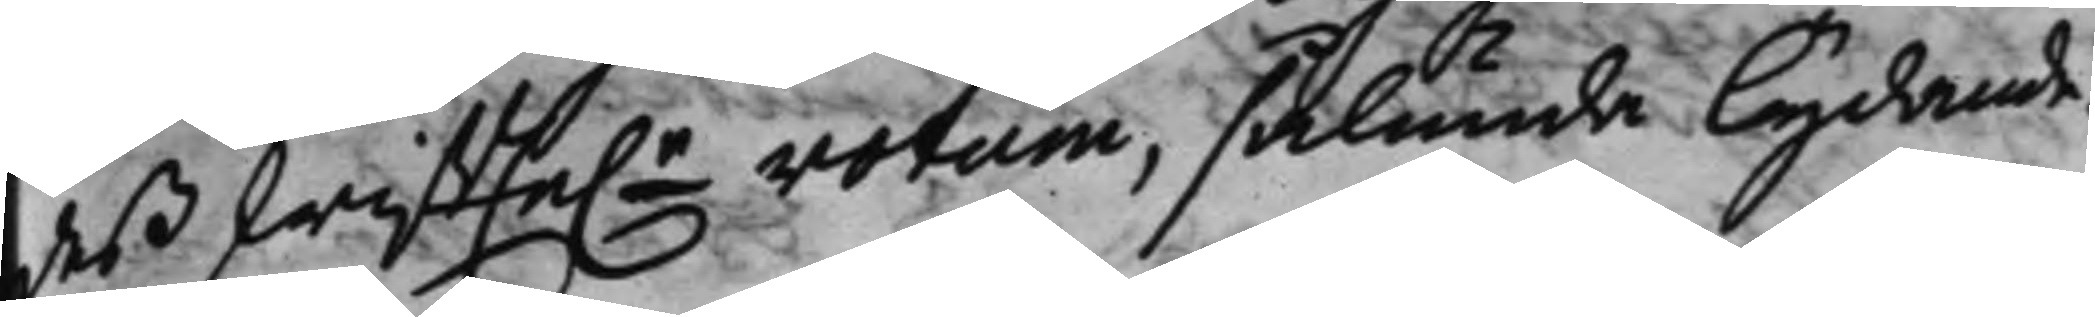deß skriffte.e votum, sålunda lydande.
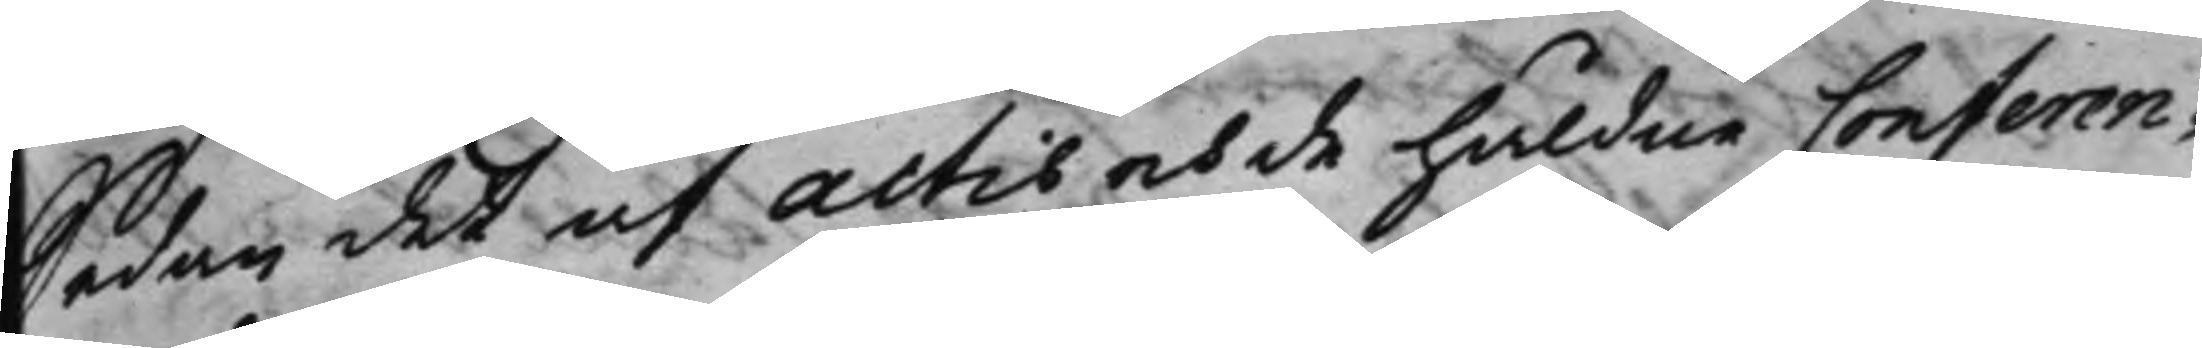Sedan det af actis och de håldne Conferen¬
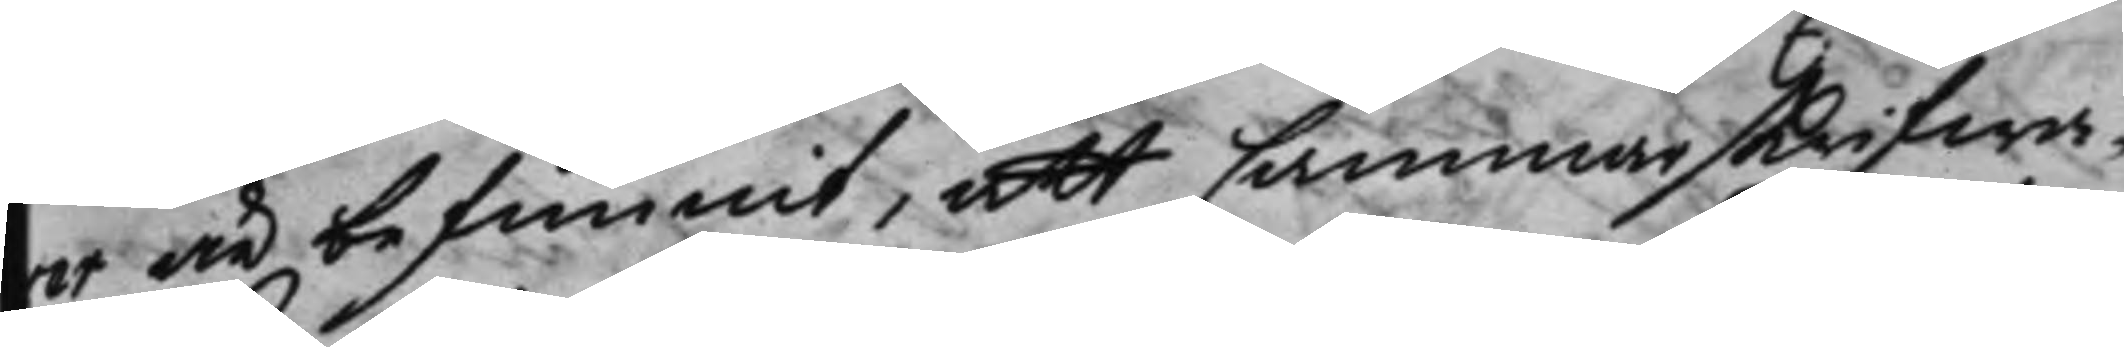ser är befunnit, att Cammarskrifwa¬
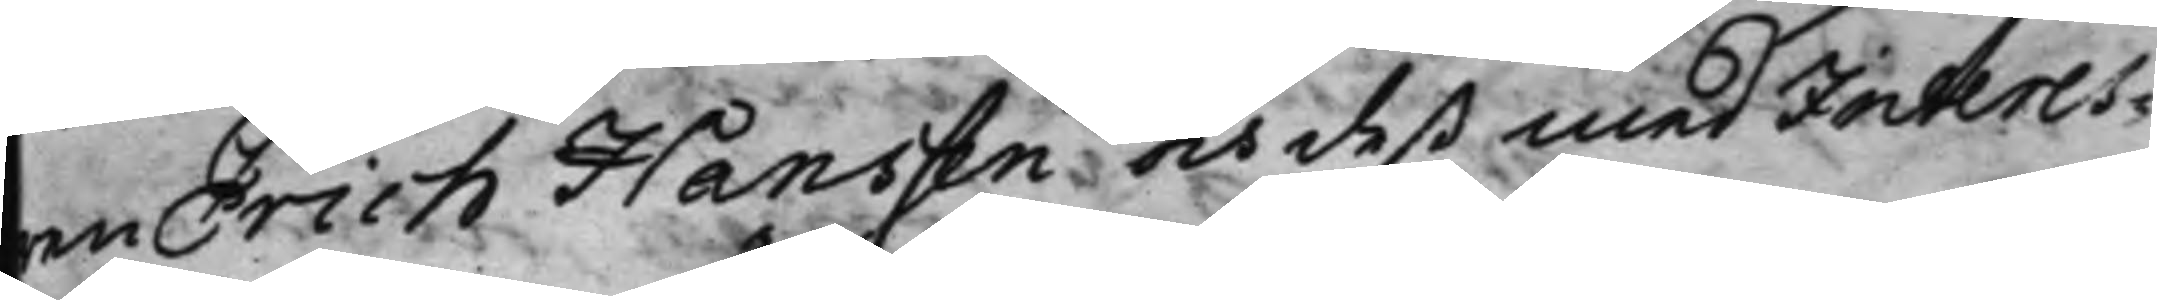ren Erich Hanssen och deß med Interes¬
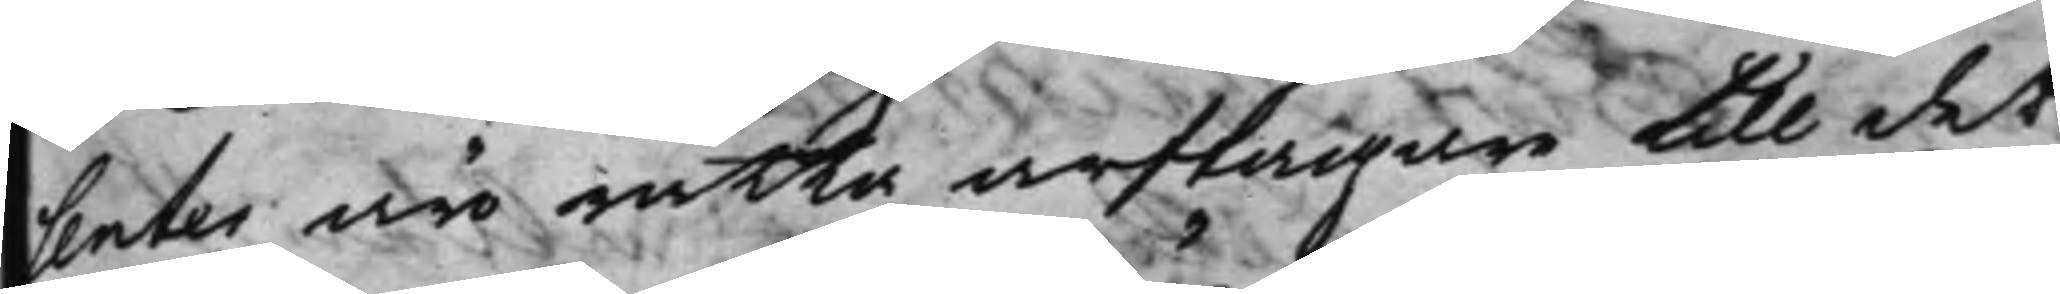senter äro rätta arftagare till det
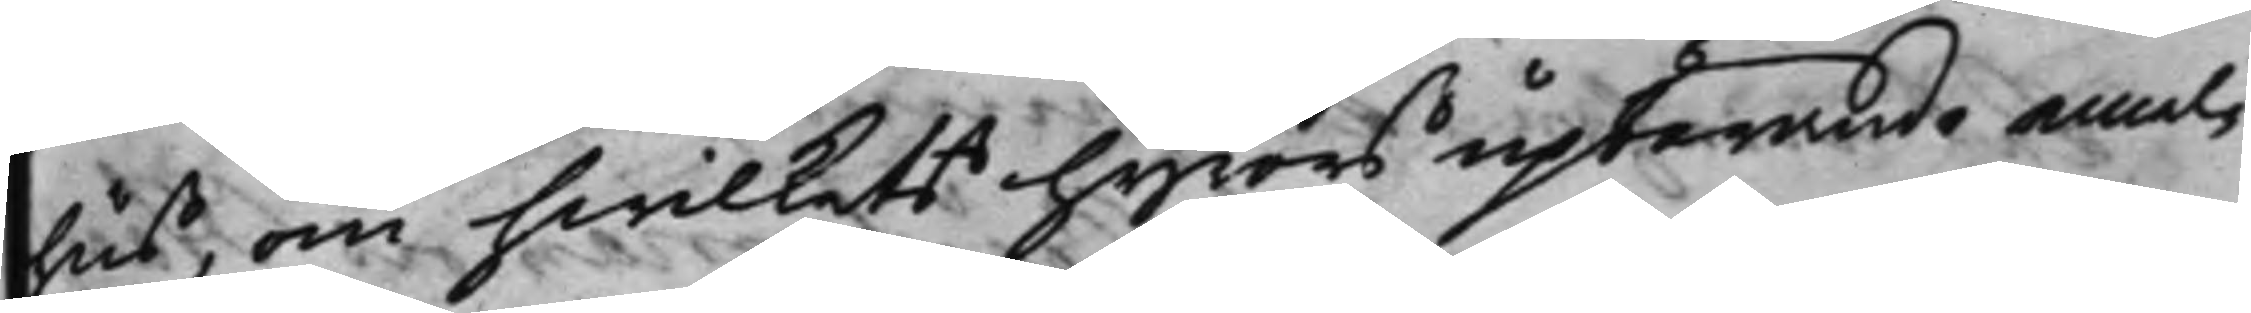hus, om hwilkets hyrors upförande emel¬
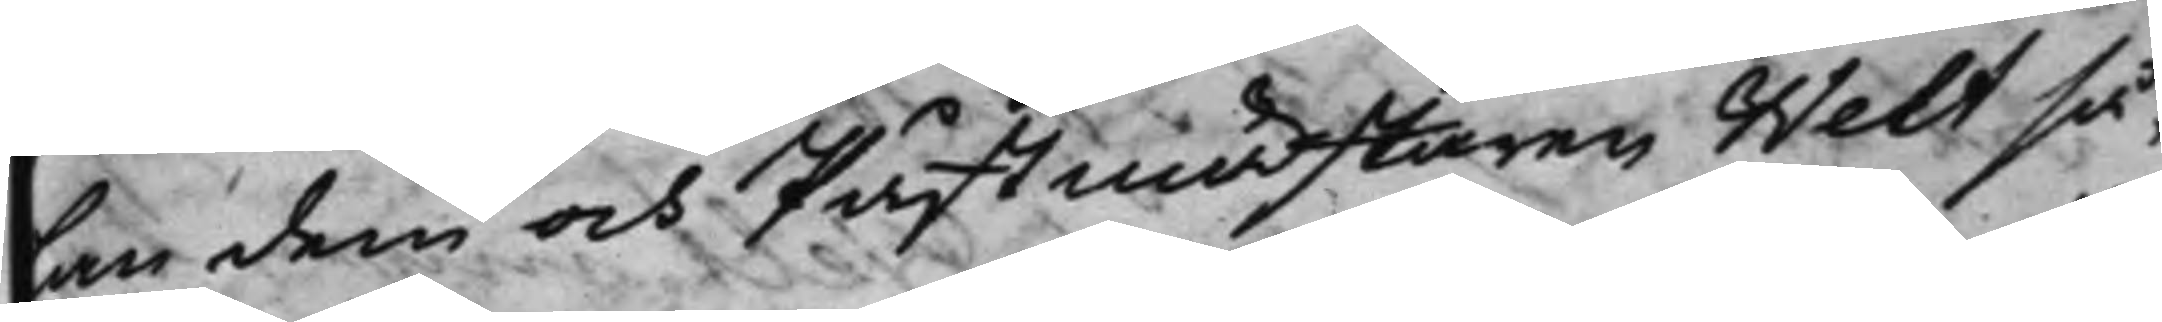lan dem och Påstmästaren Welt så¬
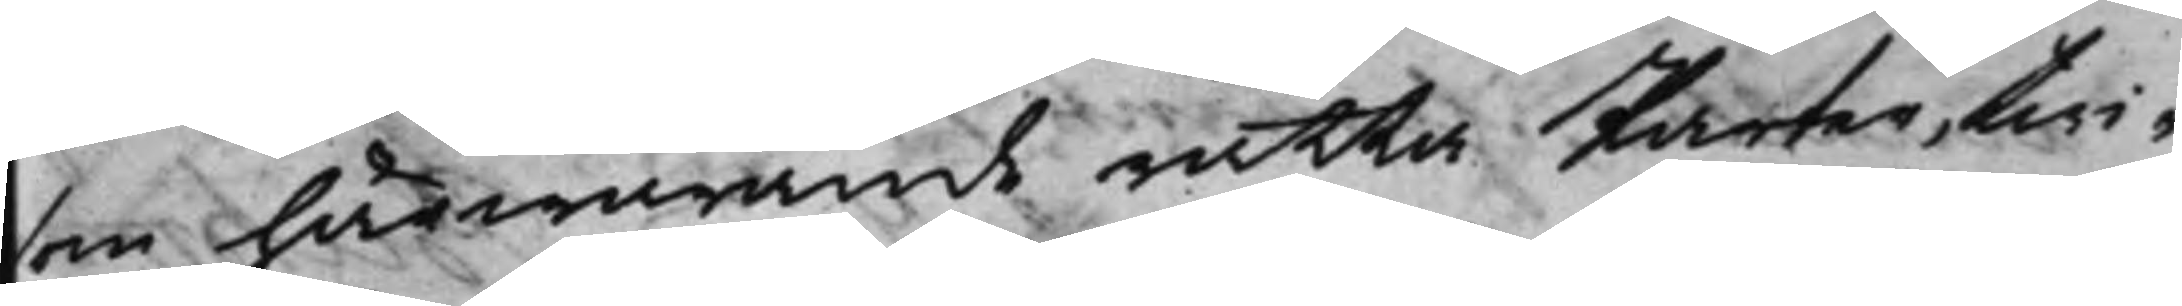som härwarande rätta Parter, twi¬
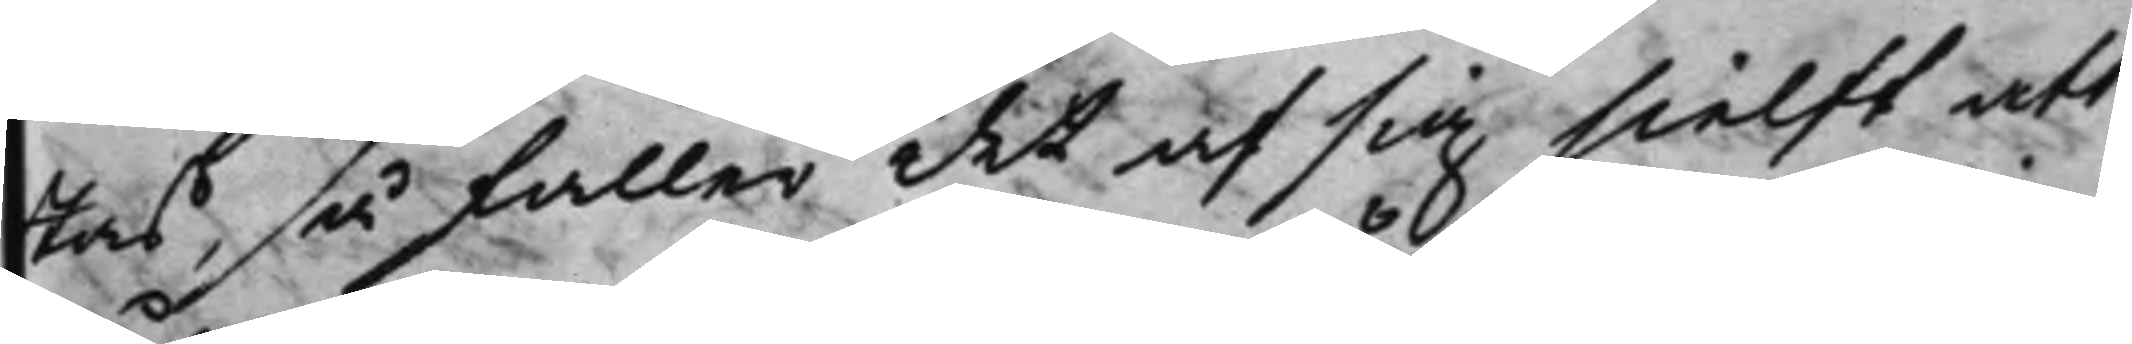stas, så faller det af sig sielft att
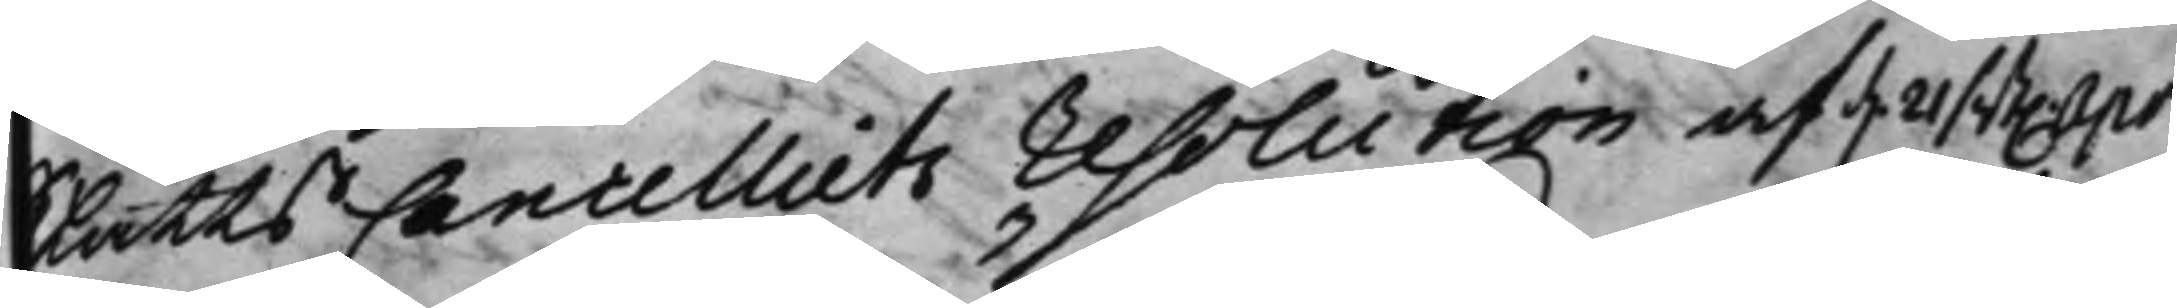SlåttsCancelliets Resolution af d. 21 sist. Apr.
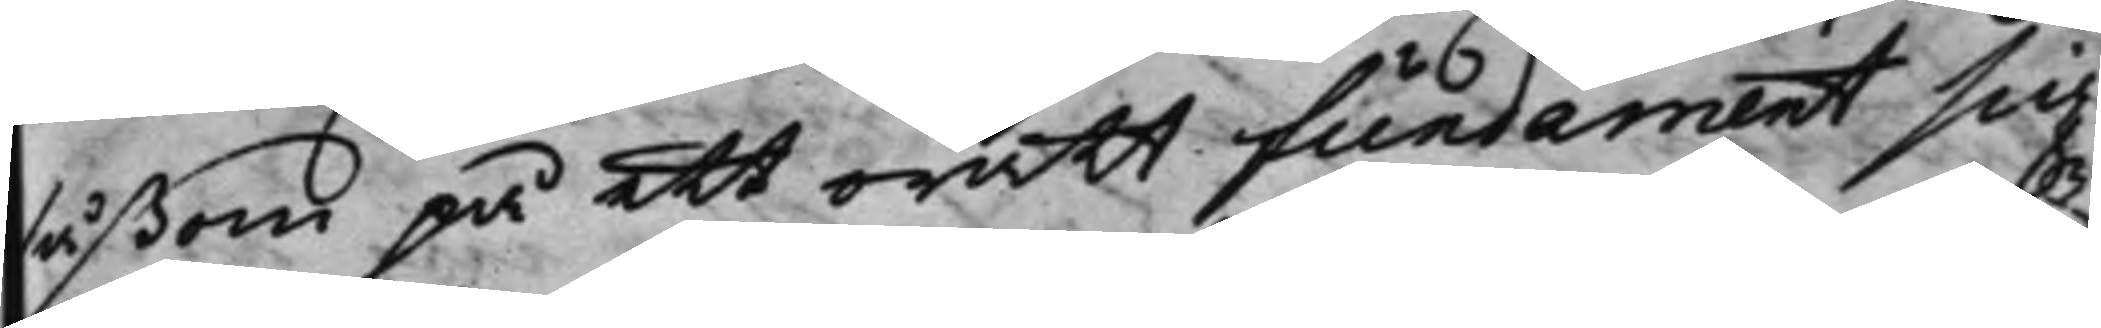såßom på ett orätt fundament sig
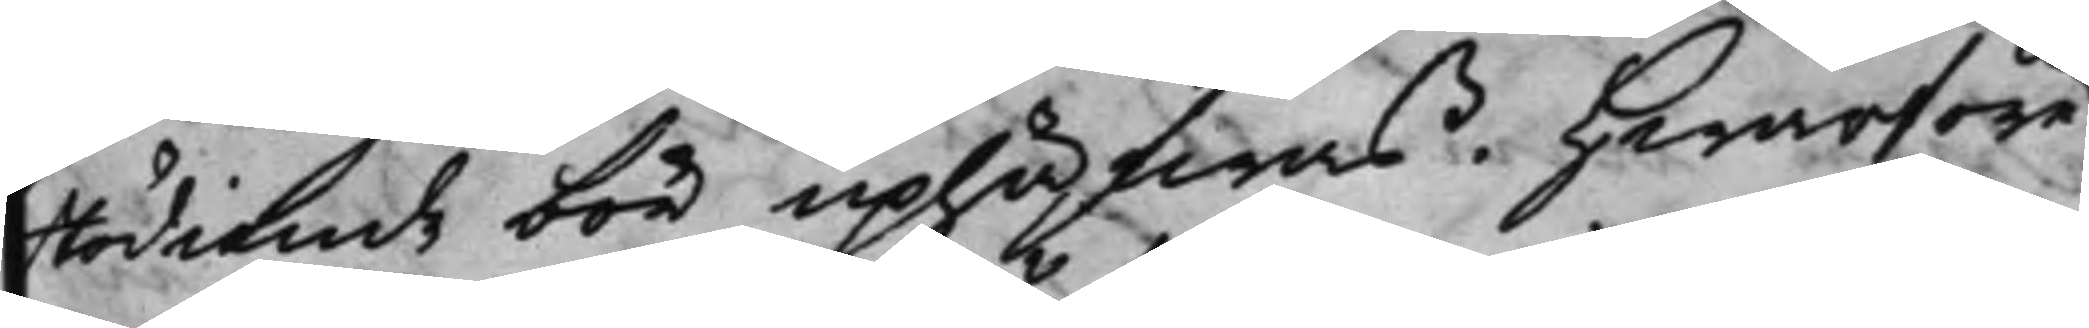stödiande bör uphäfwas. Hwarföre
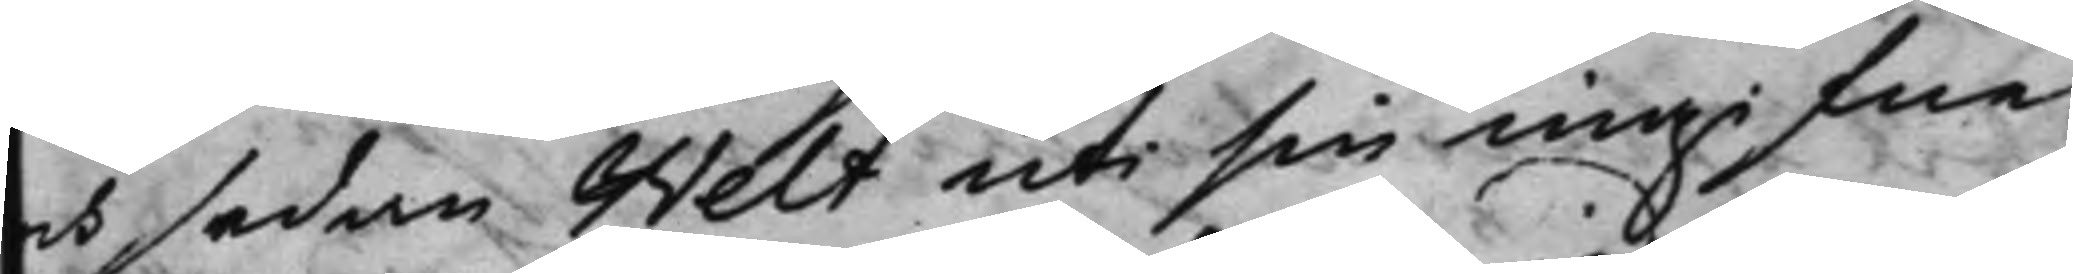och sedan Welt uti sin ingifne
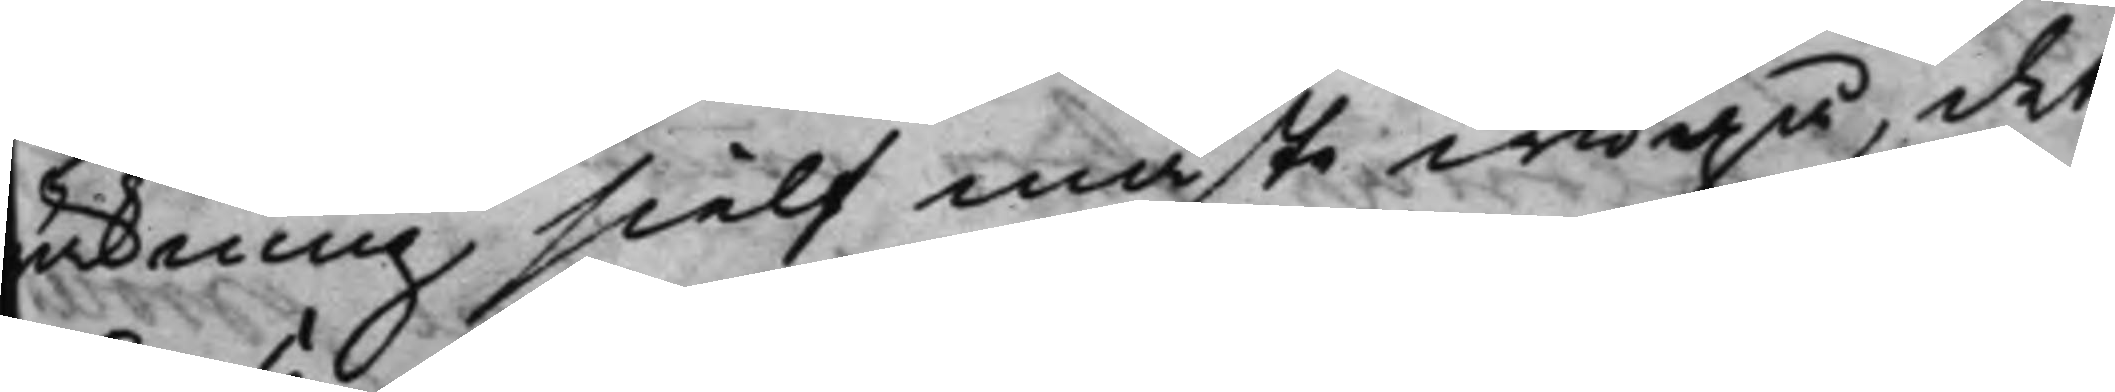räkning sielf måste widgå, det
